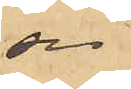ser
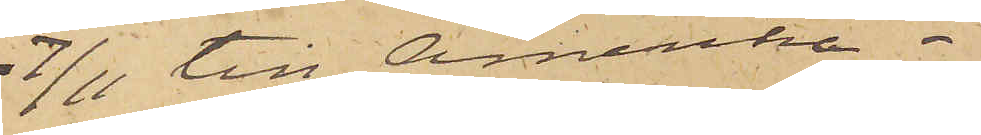7/11 till Amerika.
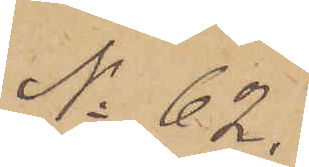No 62.
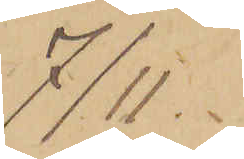7/11.
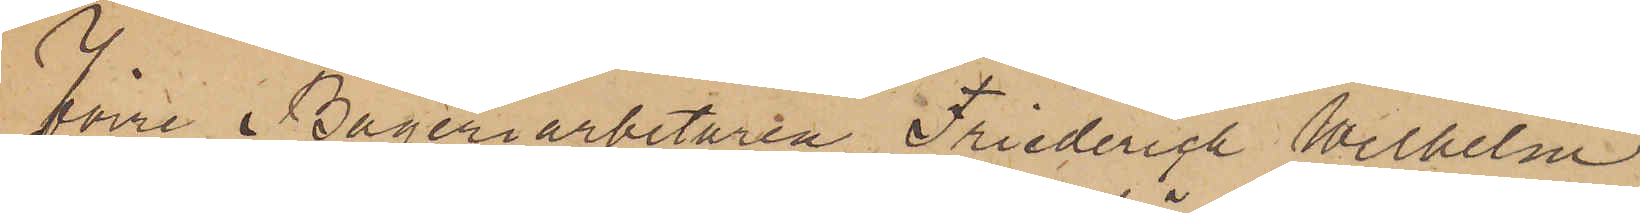Förre Bageriarbetaren Friedrich Wilhelm
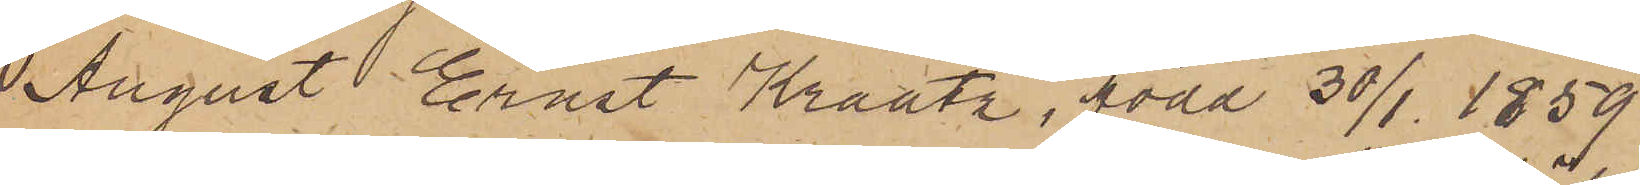August Ernst Kraatz, född 30/1 1859
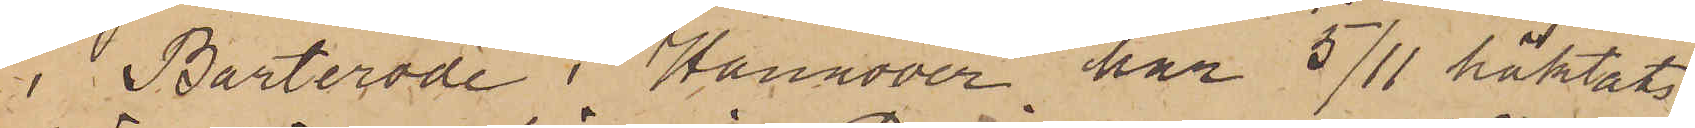i Barterode i Hannover har 5/11 häktats
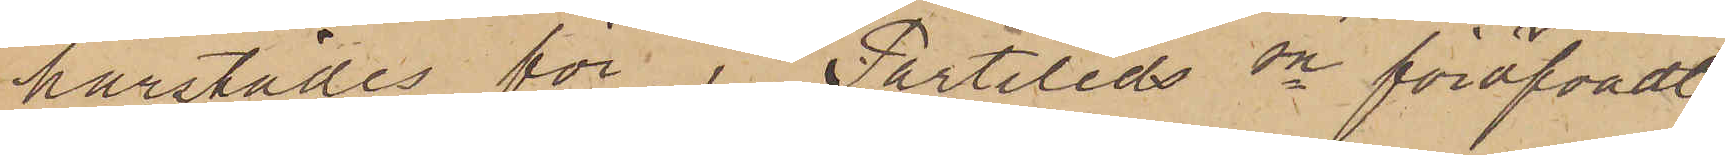härstädes för i Partileds sn föröfvadt
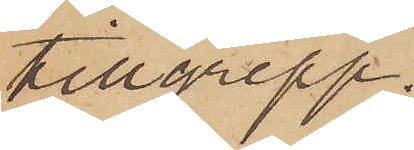tillgrepp.
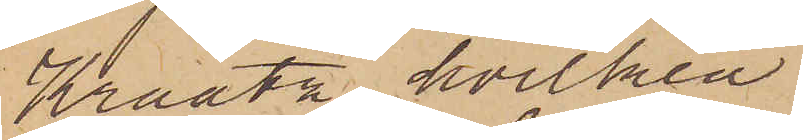Kraatz, hvilken
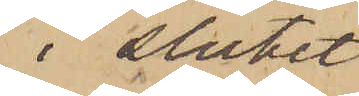i slutet
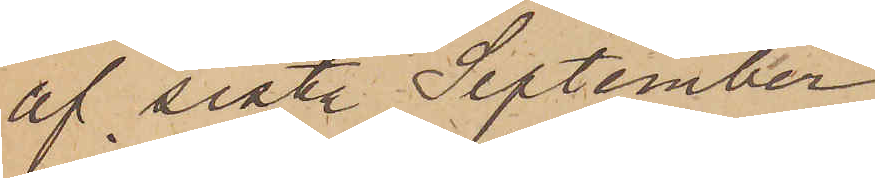af sist. September
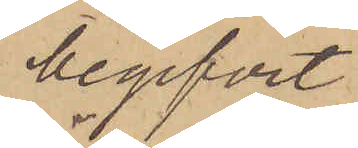begifvit
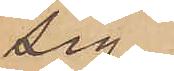sig
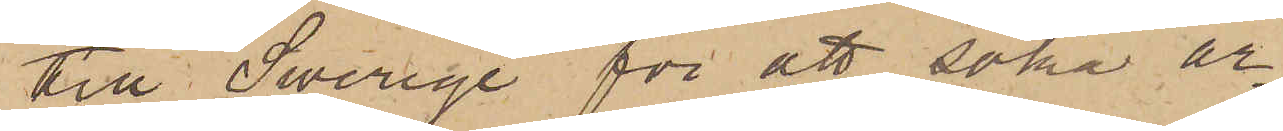till Swerige för att söka ar¬
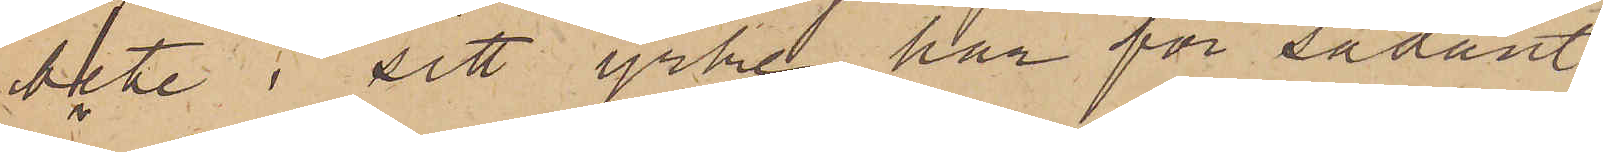bete i sitt yrke, har för sådant
